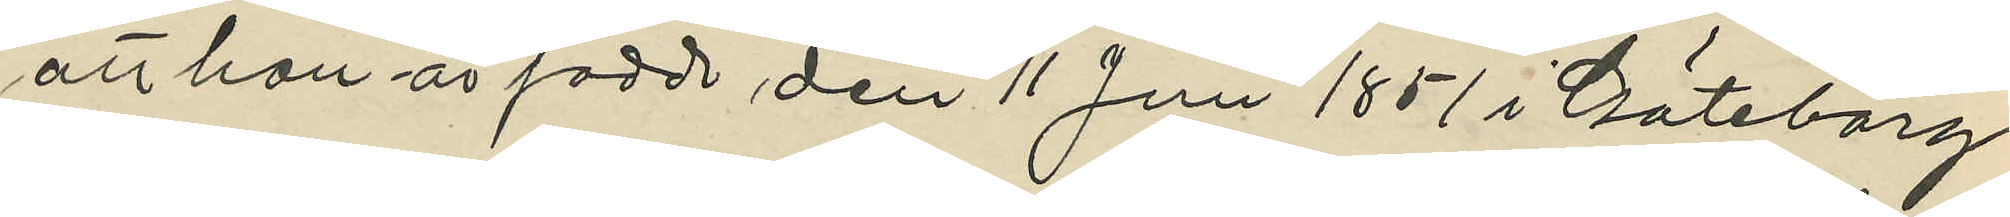att han är född den 11 Juni 1851 i Göteborg
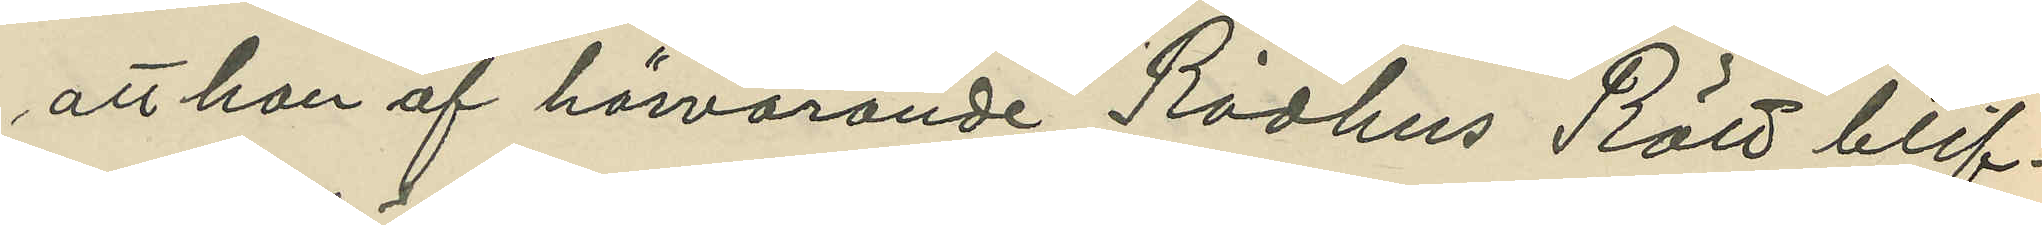att han af härvarande Rådhus Rätt blif¬
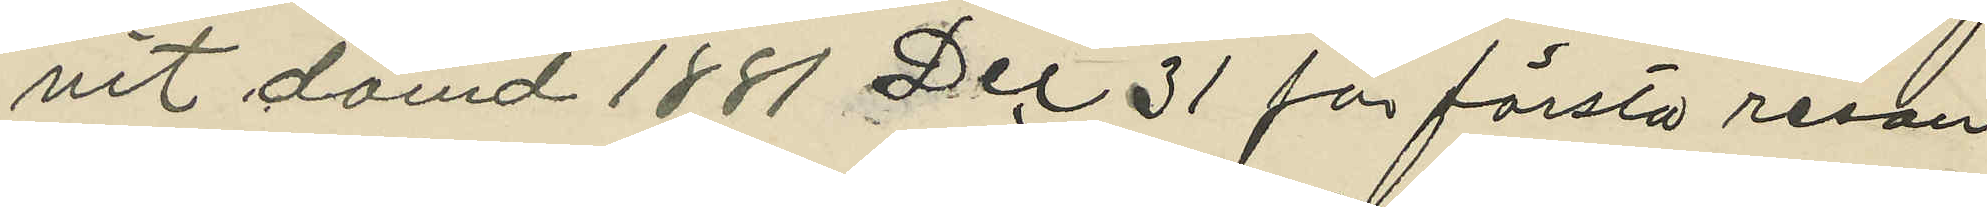vit dömd 1881 Dec 31 för första resan
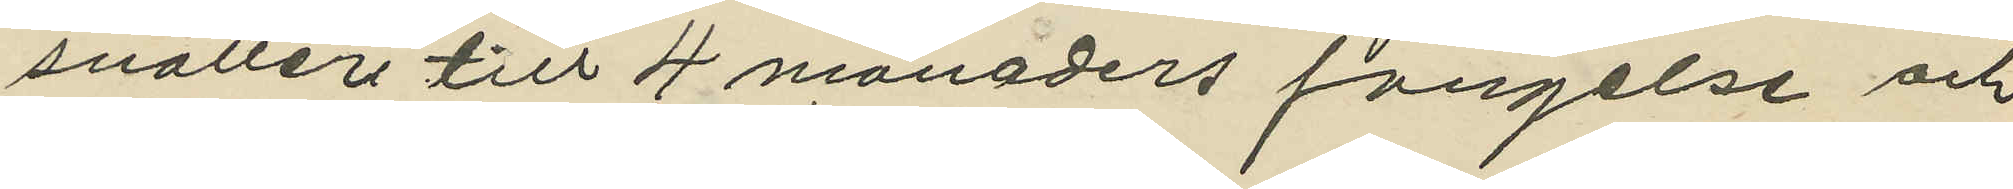snatteri till 4 månaders fängelse och
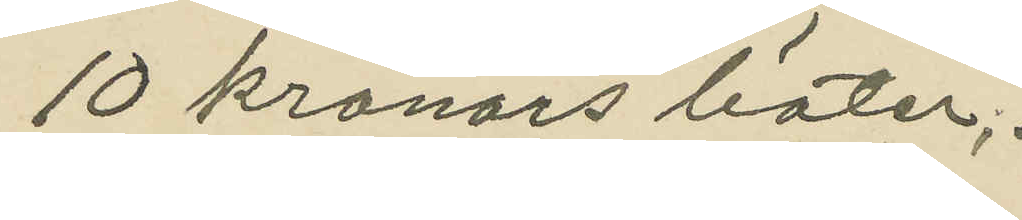10 kronors böter;
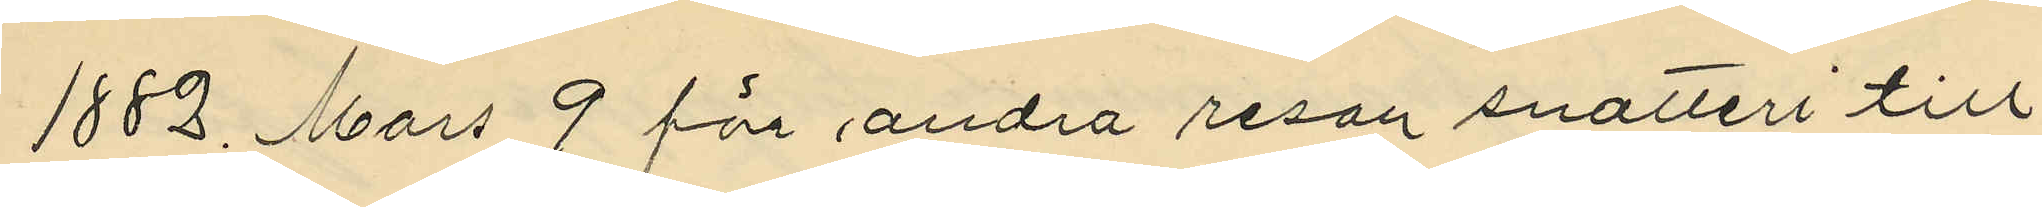1882 Mars 9 för andra resan snatteri till
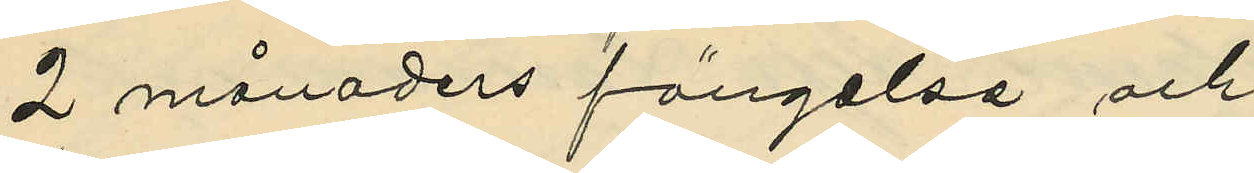2 månaders fängelse och
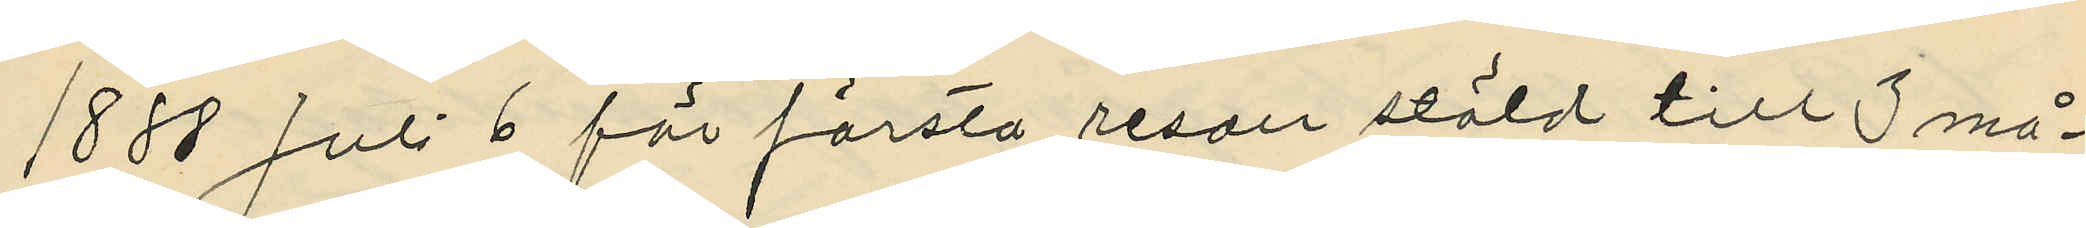1888 Juli 6 för första resan stöld till 3 må¬
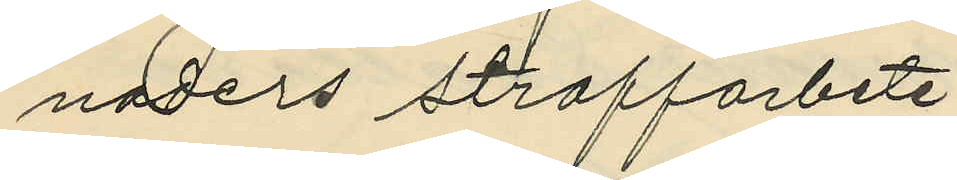naders straffarbete,
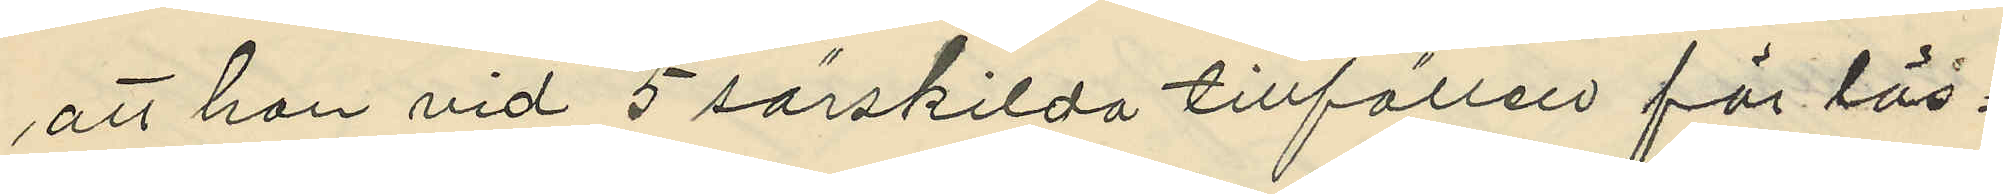att han vid 5 särskilda tillfällen för lös¬
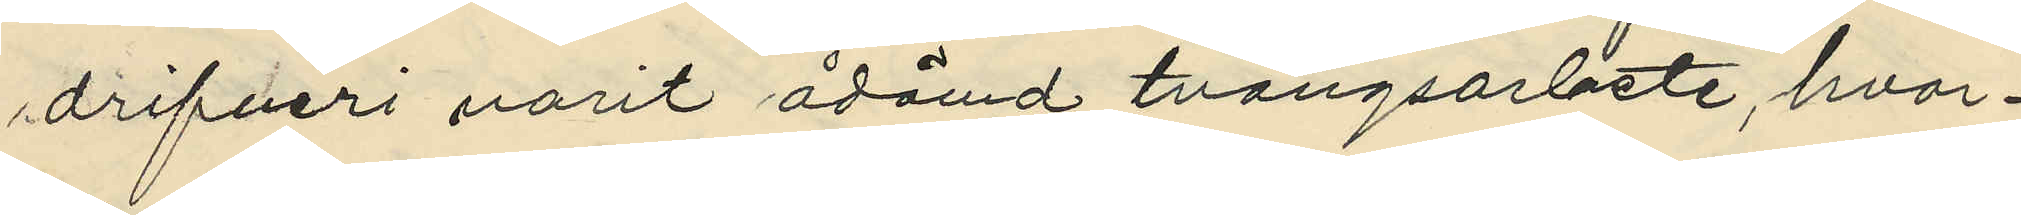drifveri varit ådömd tvångsarbete, hvar¬
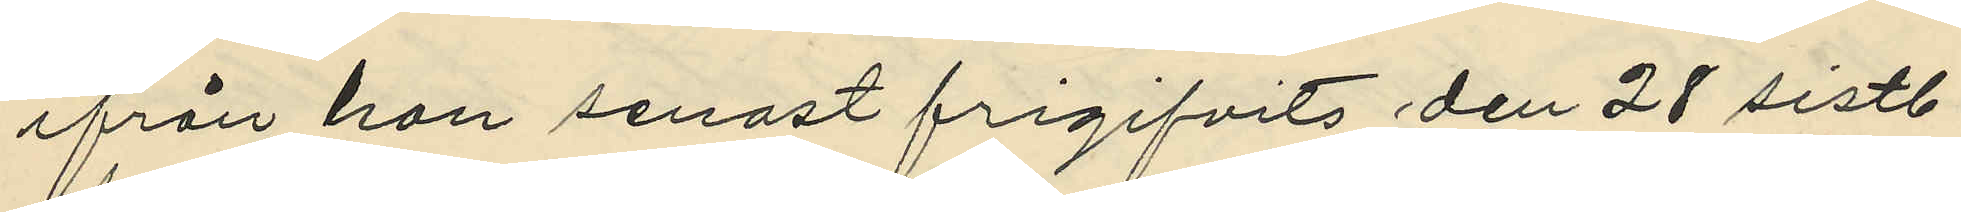ifrån han senast frigifvits den 28 sistl.
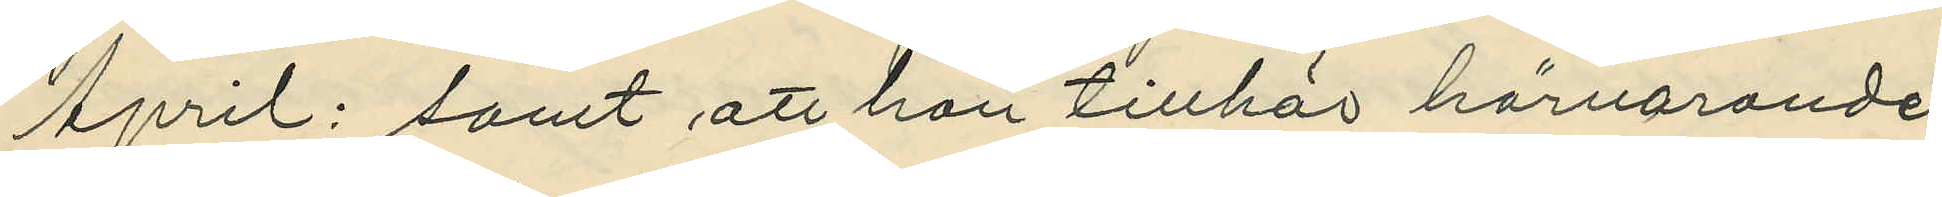April; samt att han tillhör härvarande
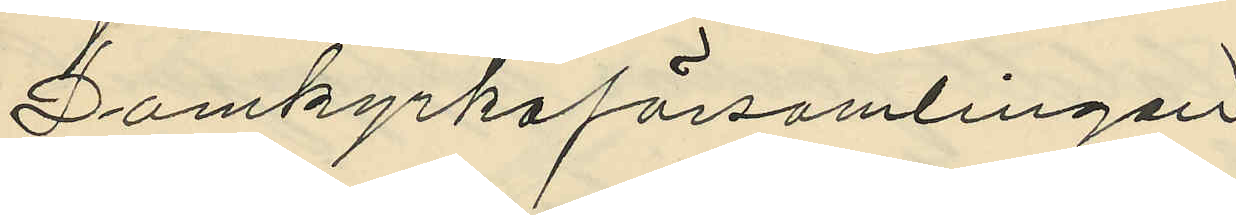Domkyrkoförsamlingen
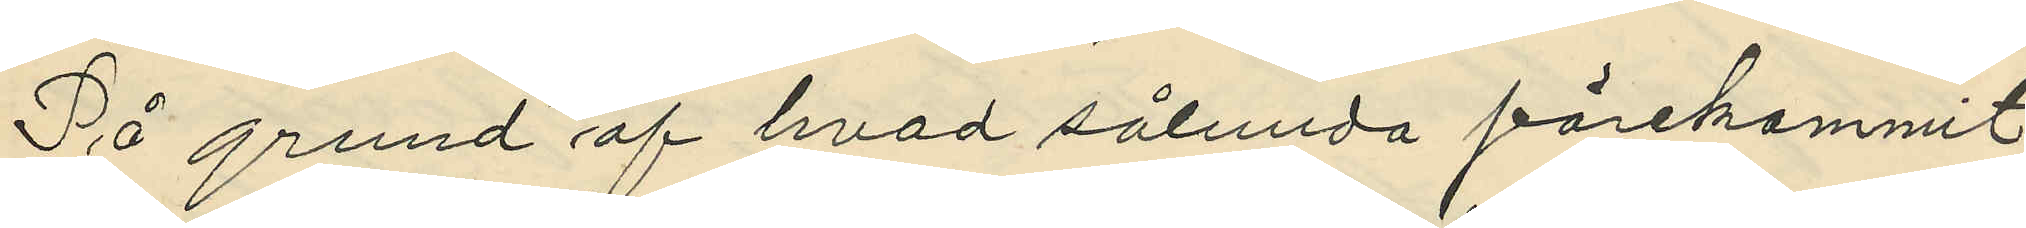På grund af hvad sålunda förekommit
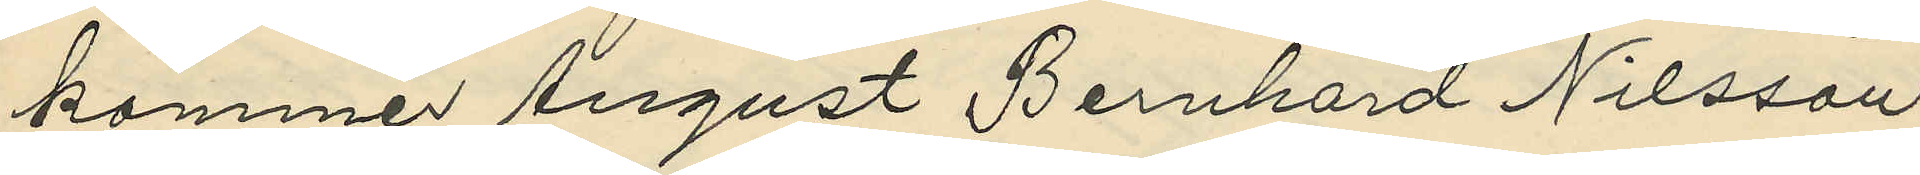kommer August Bernhard Nilsson
